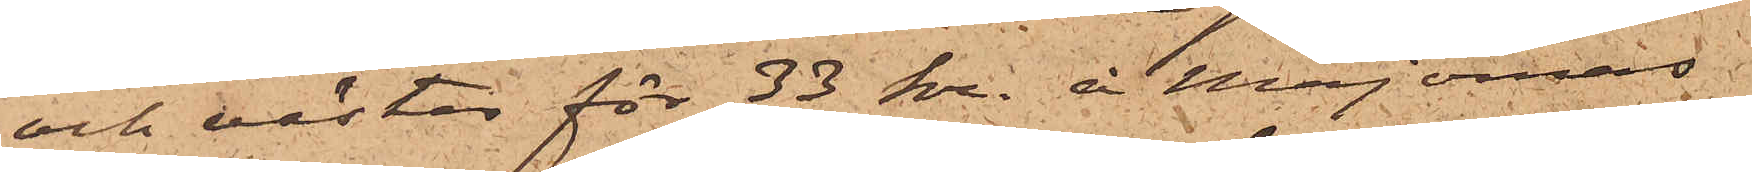och västar för 33 kr. å Majornas
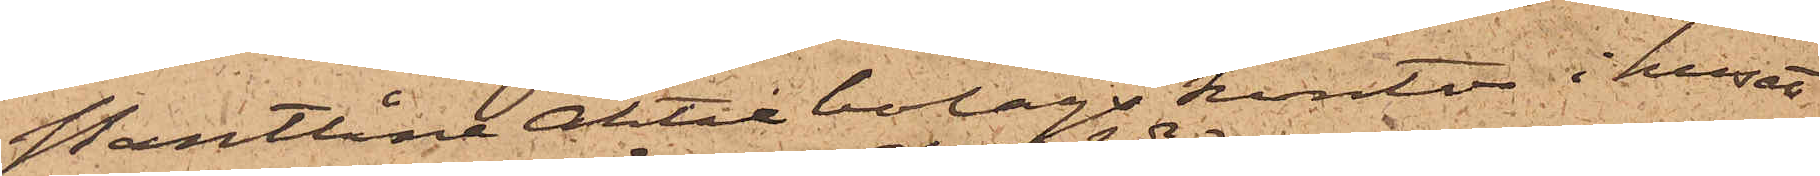PantlåneAktiebolags kontor i huset
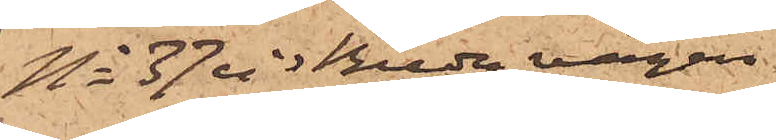No 37 vid Breda vägen
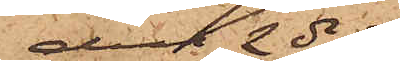den 2 ds
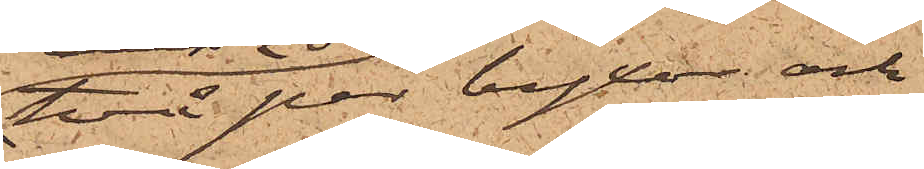två par byxor och
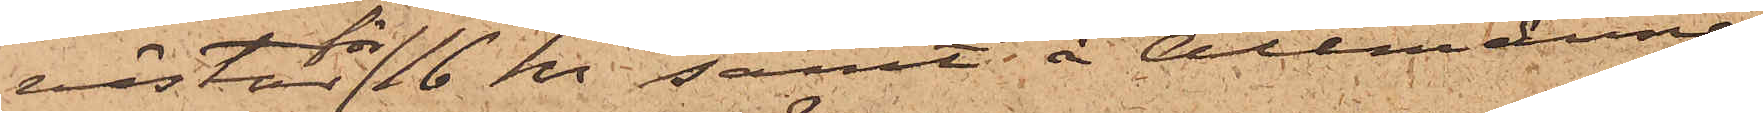västar för 16 kr samt å Allmänna
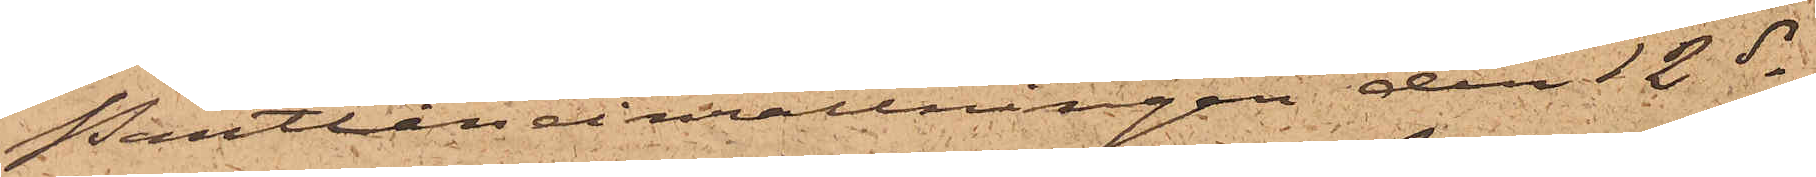Pantlåneinrättningen den 12 ds
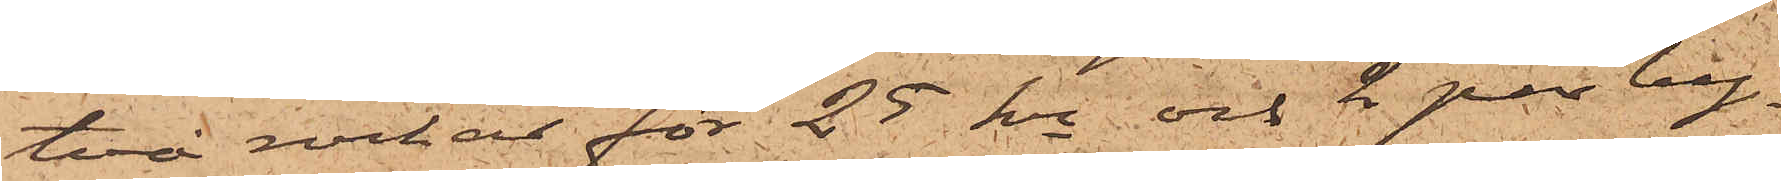två rockar för 25 kr och 2 par by¬
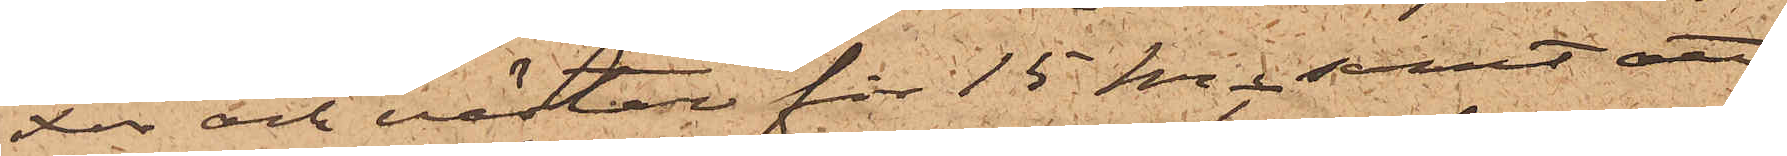xor och västar för 15kr; samt att
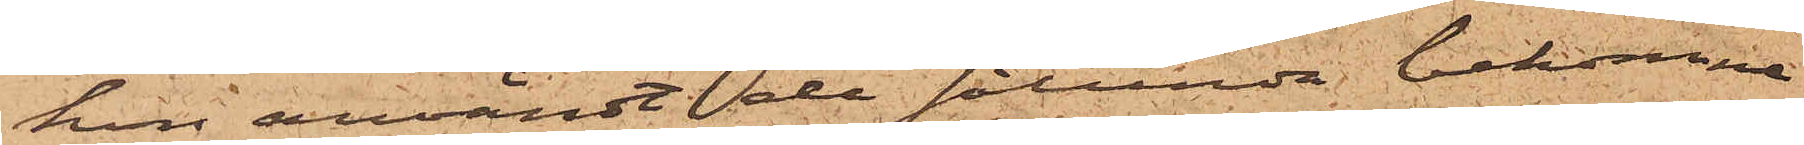hon användt de sålunda bekomne
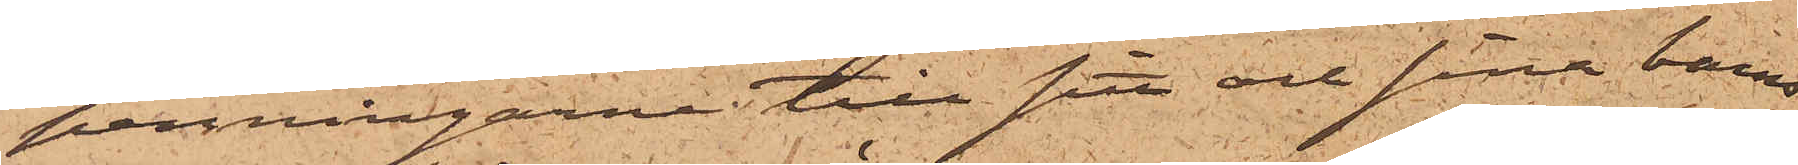penningarne till sitt och sina barns
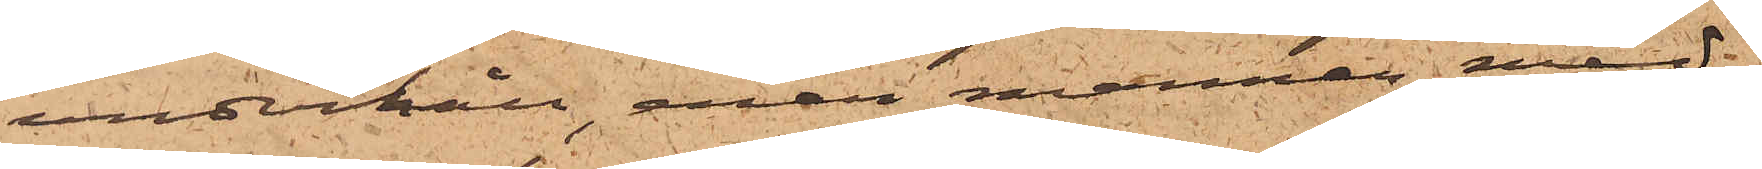underhåll, enär mannen, med
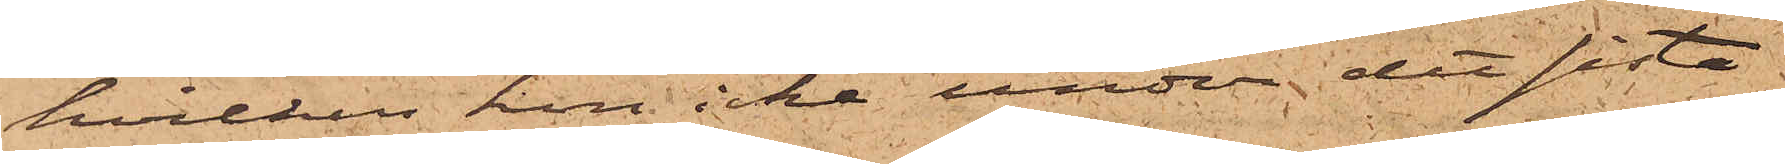hvilken hon icke under det sista
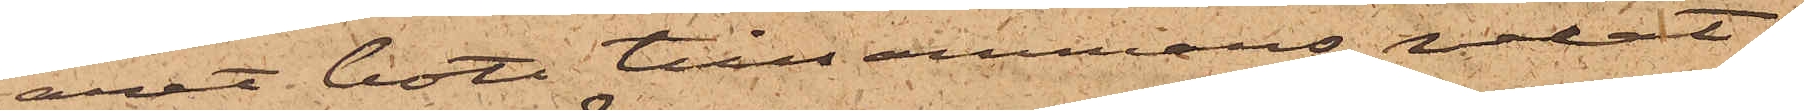året bott tillsammans, velat
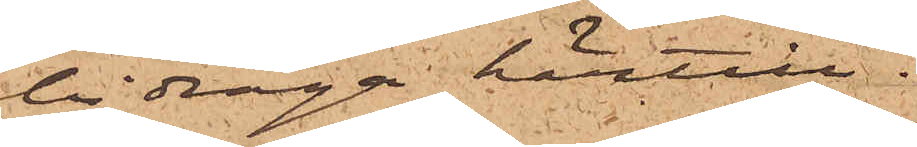bidraga härtill.
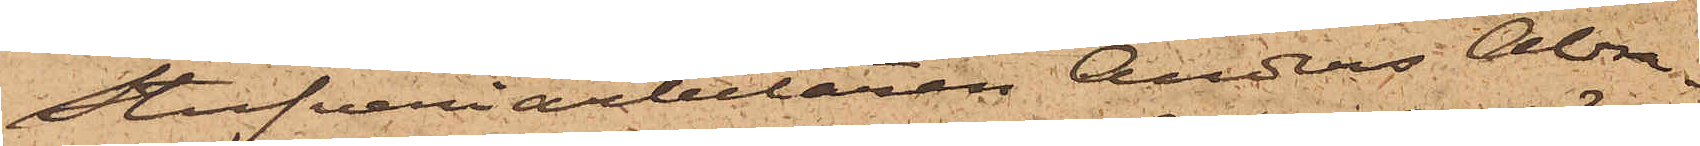Stufveriarbetaren Anders Abra¬
